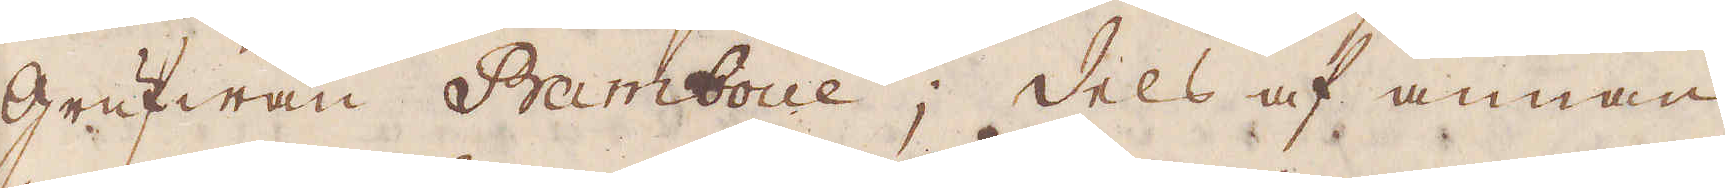grufwan Bramboue; dels af annan
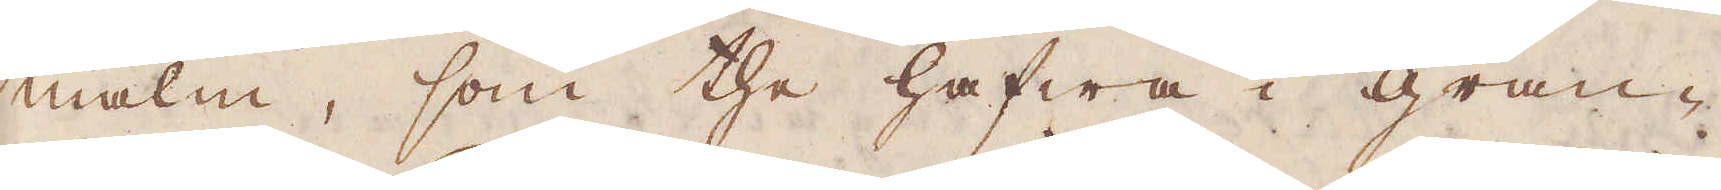malm, som the hafwa i gran-
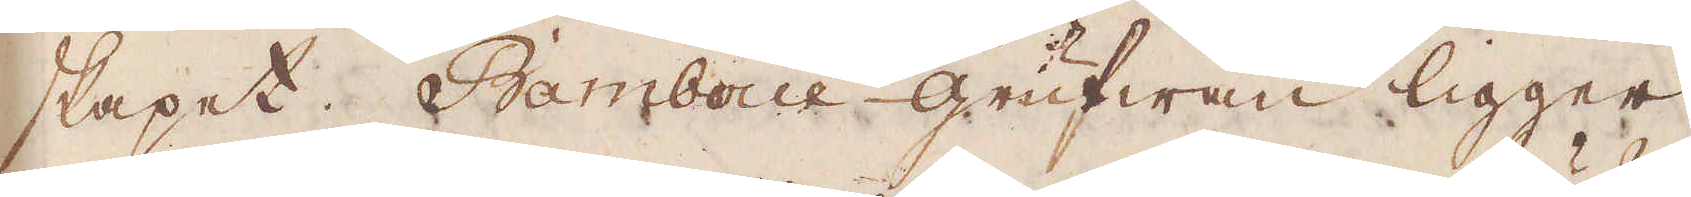skapet. Ramboue-grufwan ligger
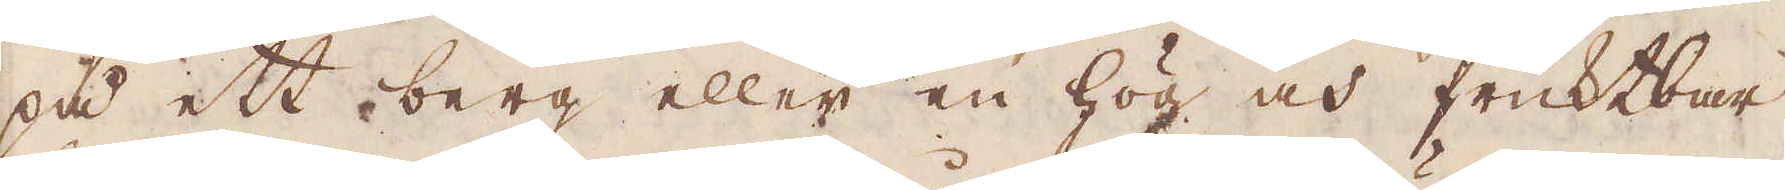på ett berg eller en hög och fruktbar
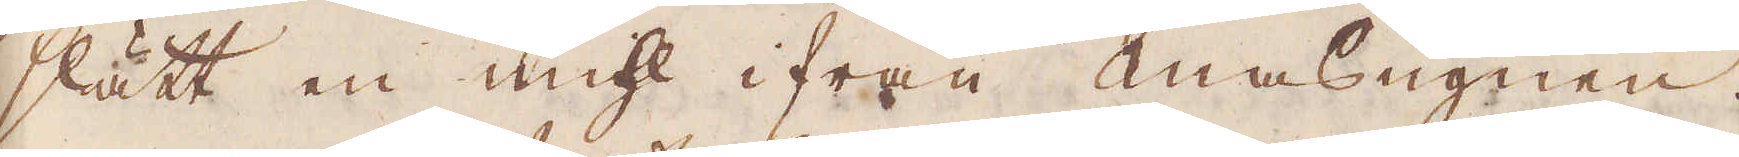slätt en mihl ifrån masugnen.
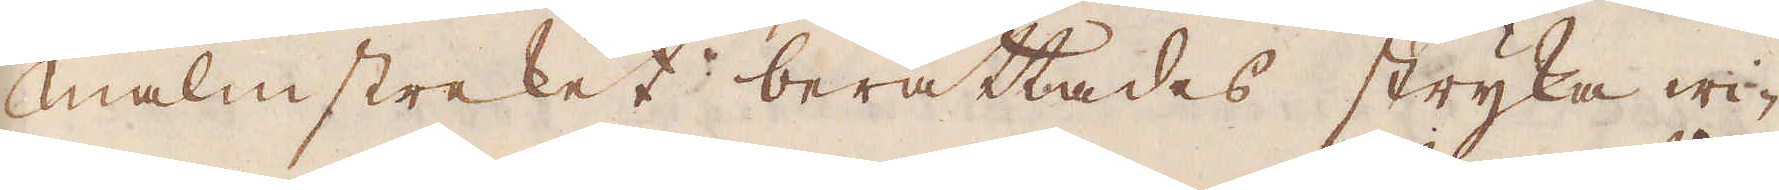Malmstreket berättades stryka wi-
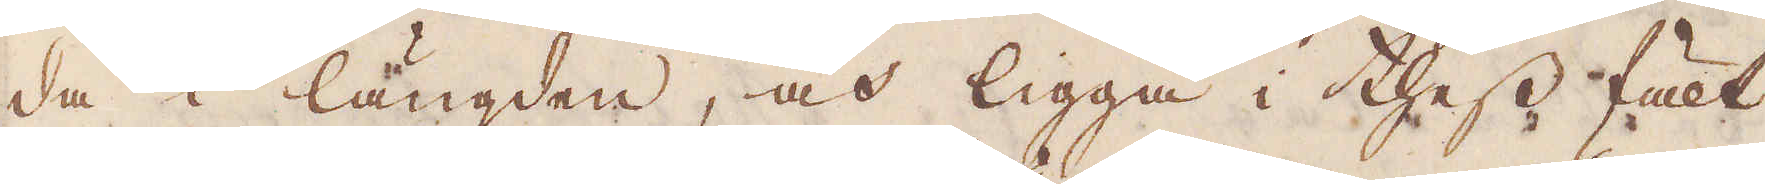da i längden, och ligga i thess fält
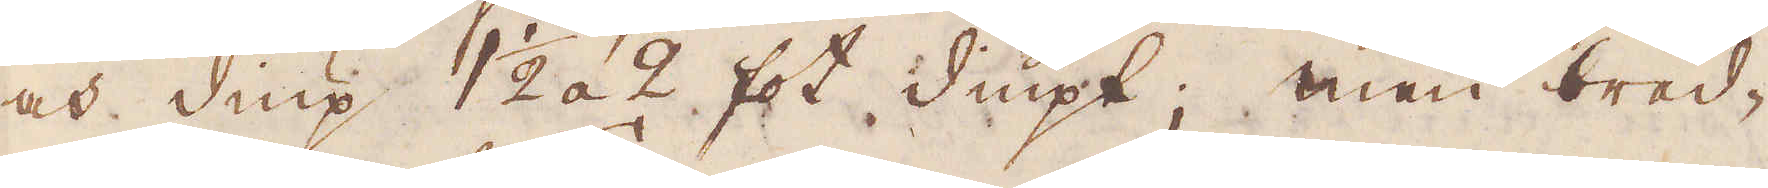och diup 1 1/2 a 2 fot diupt; men hwad-
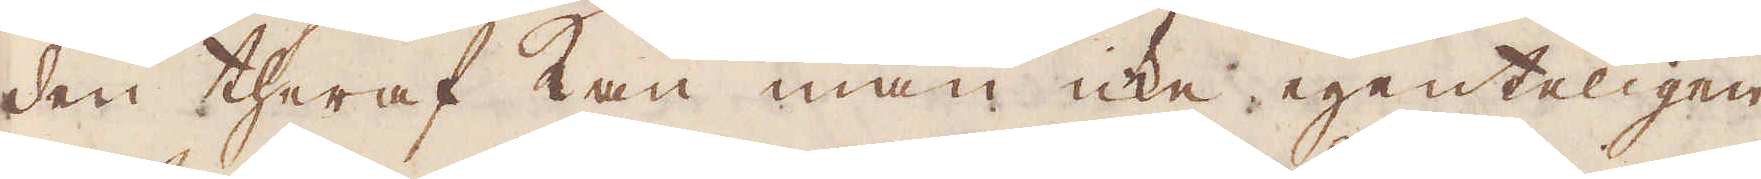den theraf kan man icke egenteligen
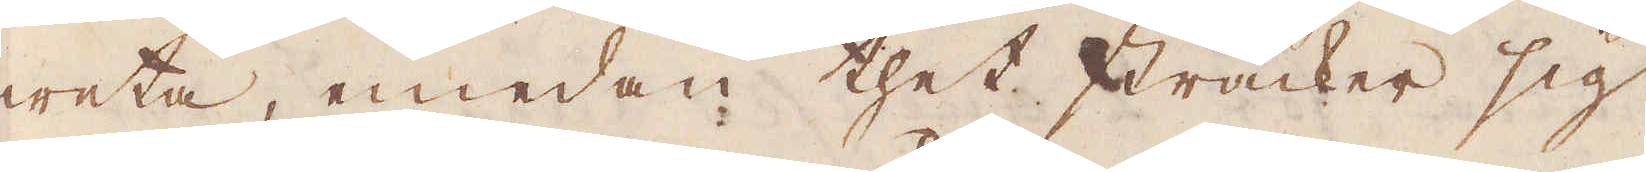weta, emedan thet sträcker sig
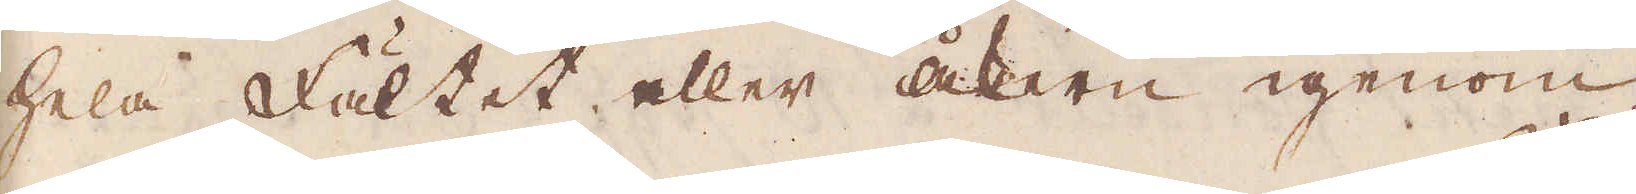hela fältet eller åkern igneom
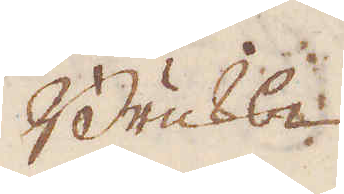Bruks-
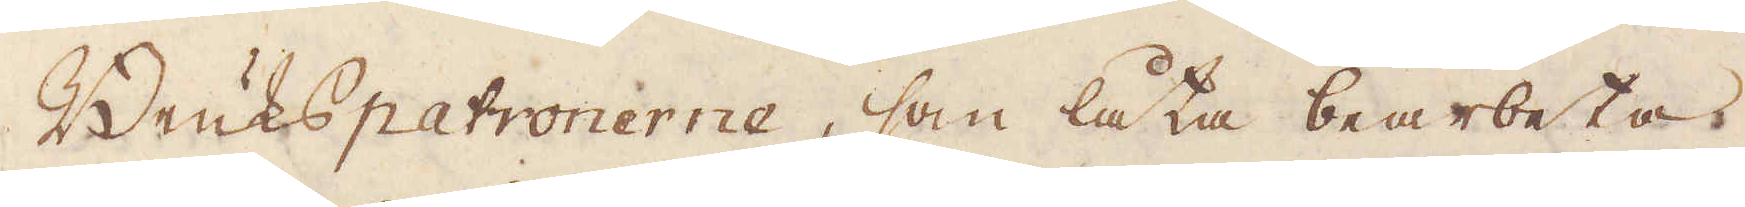Brukspatronerne, som låta bearbeta
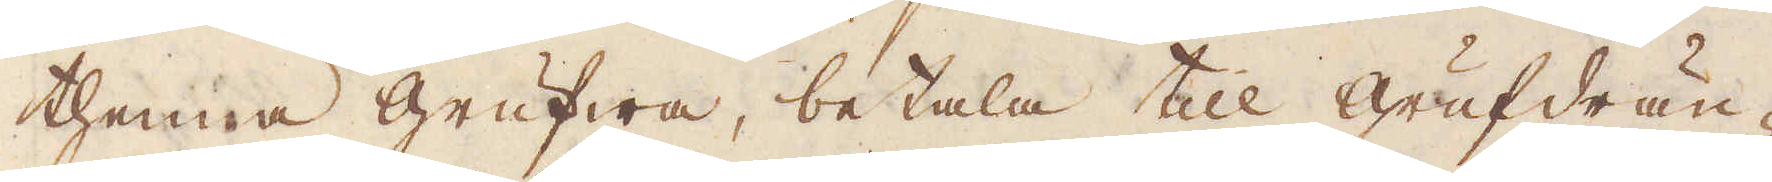thenna grufwa, betala till grufdrän-
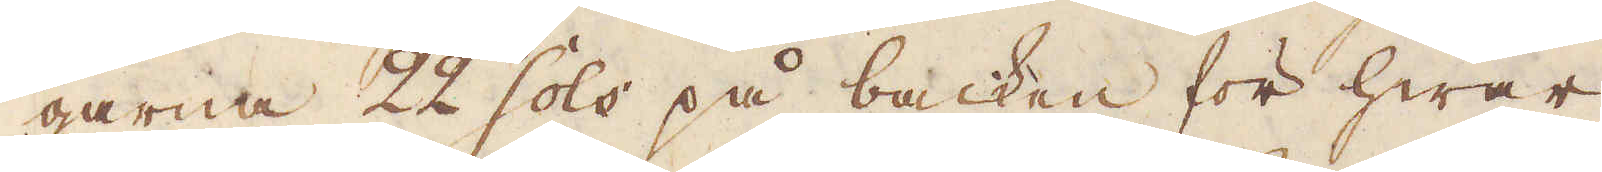garna 22 Sols på backen för hwar
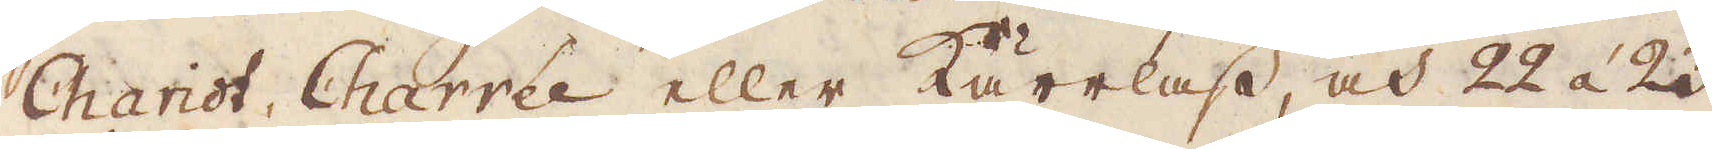Chariot Charrée eller Kärrlass, och 22 à 23
